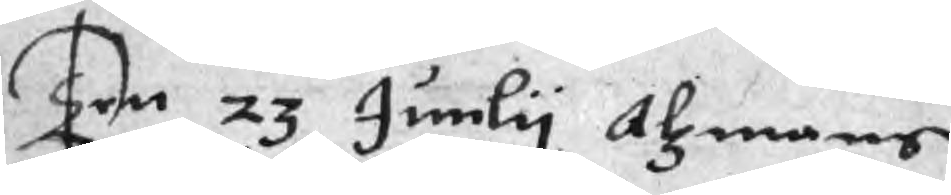Ten 23 Junly Alzmans
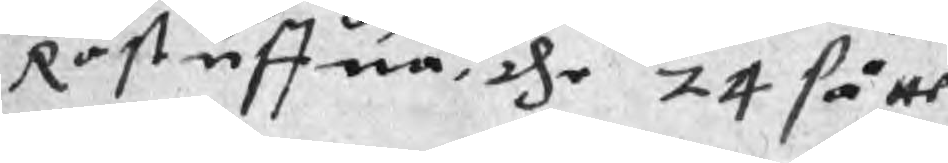Råstuffua, the 24 såtte
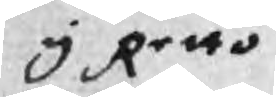y Retto
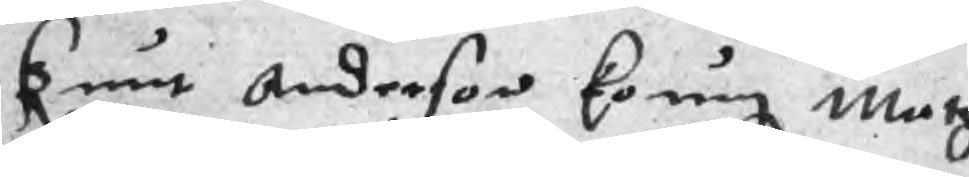Knut Anderson koung Matz
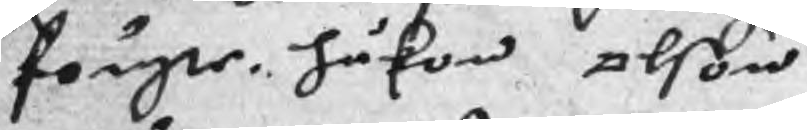fougte håkon olson
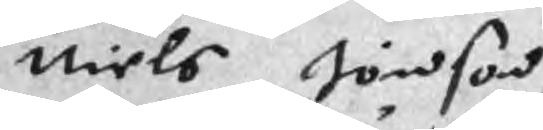Niels Jönson
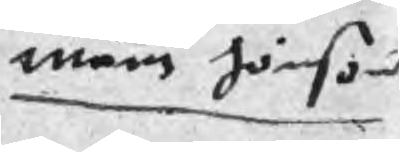måns Jönson
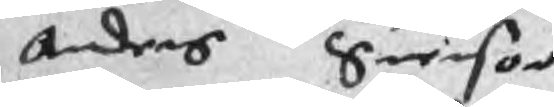anders Suenson
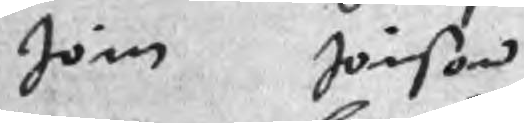Jöns Jönson
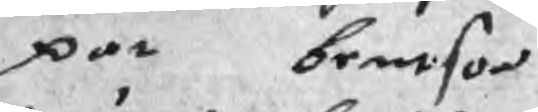par bentson
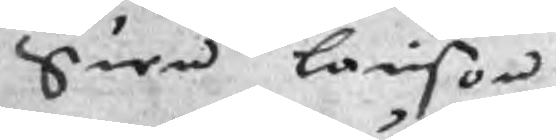Suen Lairson
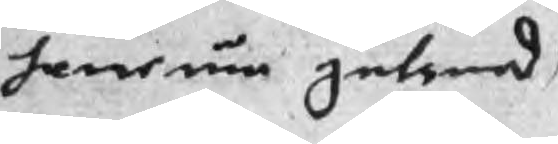Janeum gulsmed
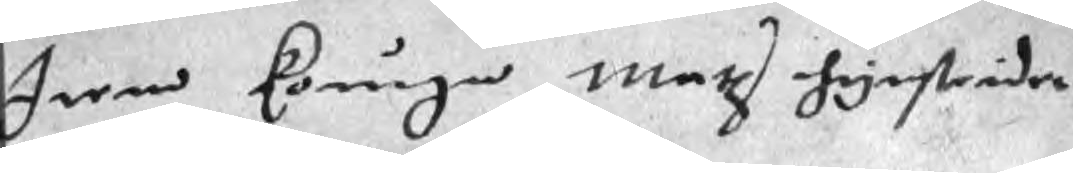Item kounga Matz hynstrider
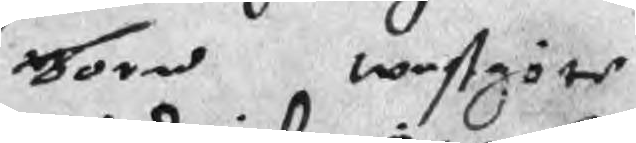born westgöte
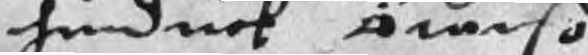hindick Åtarso
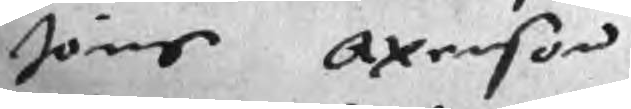Jöns Axenson
